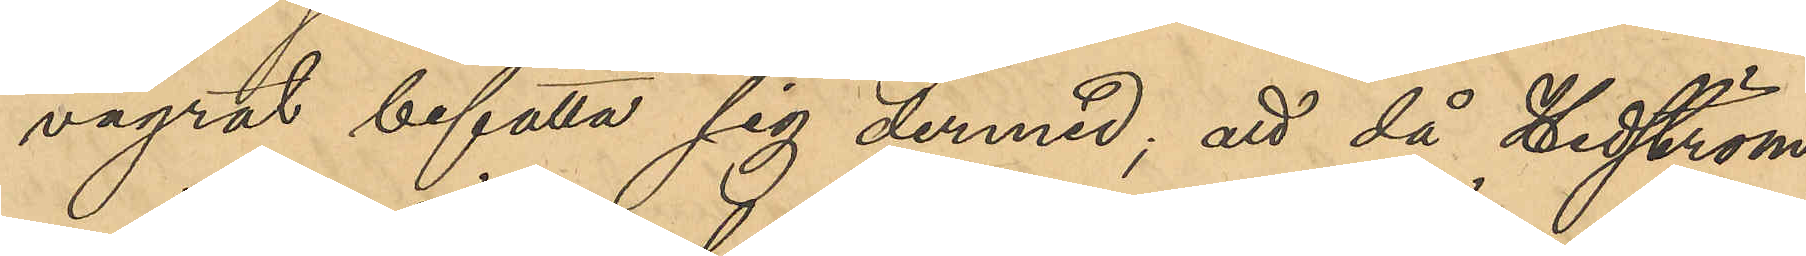vägrat befatta sig dermed; att då Hedström
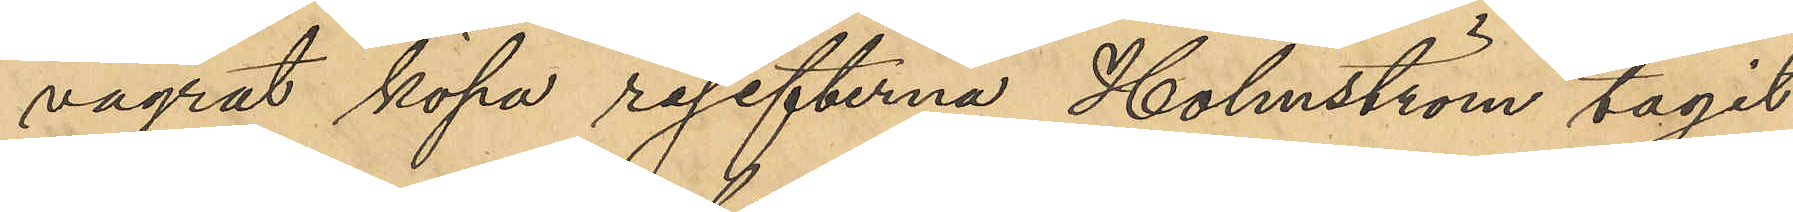vägrat köpa resefterna, Holmström tagit
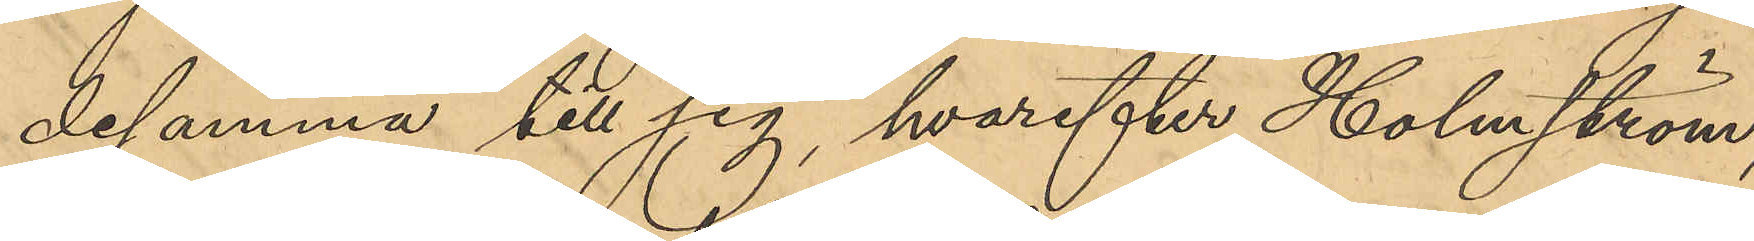desamma till sig, hvarefter Holmström,
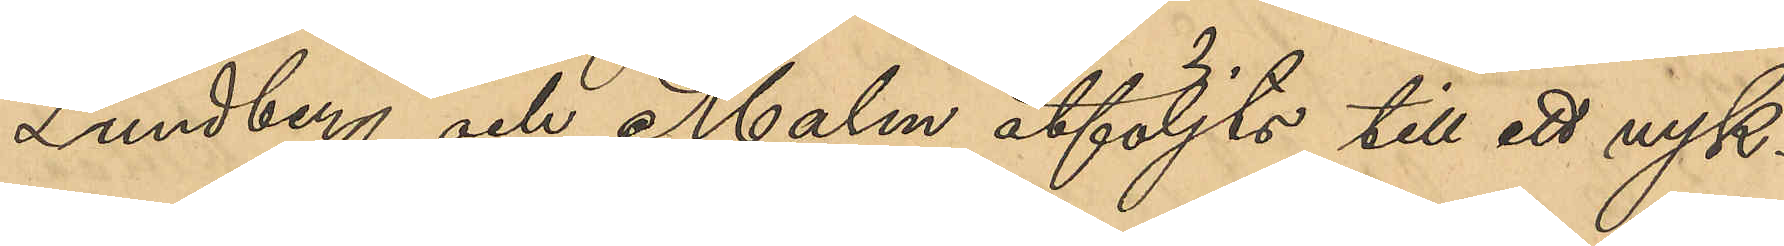Lundberg och Malm åtföljts till ett nyk¬
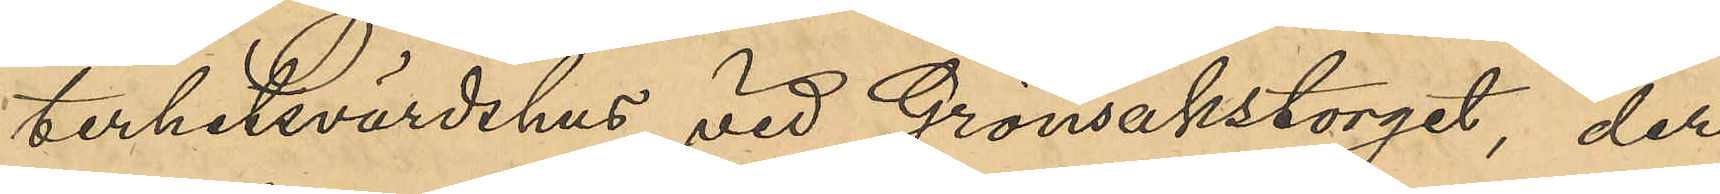terhetsvärdshus vid Grönsakstorget, der
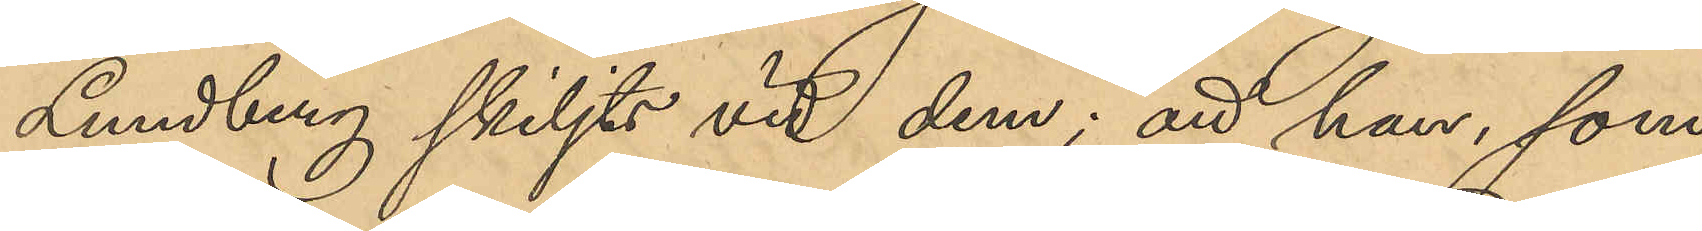Lundberg skiljts vid dem; att han, som
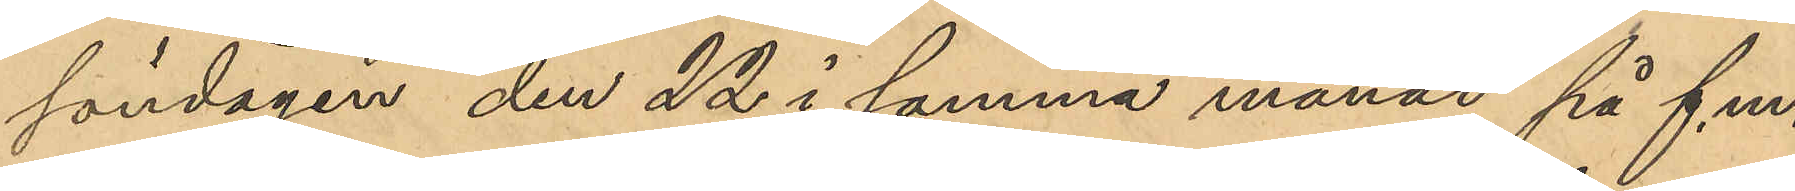söndagen den 22 i samma månad på f.m.
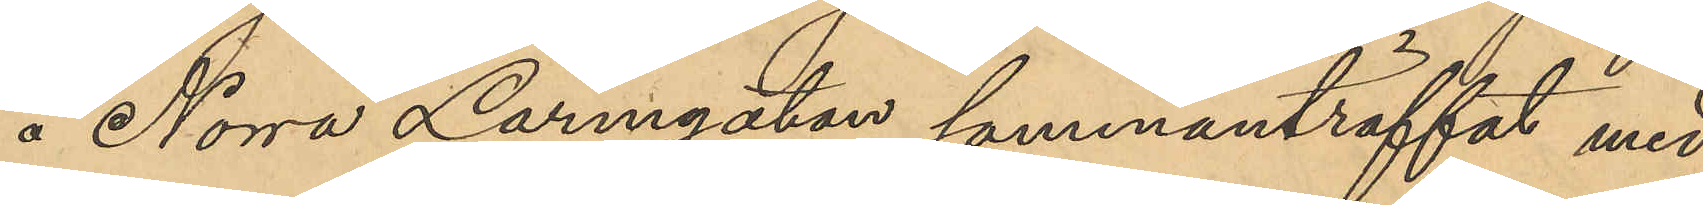å Norra Larmgatan sammanträffat med
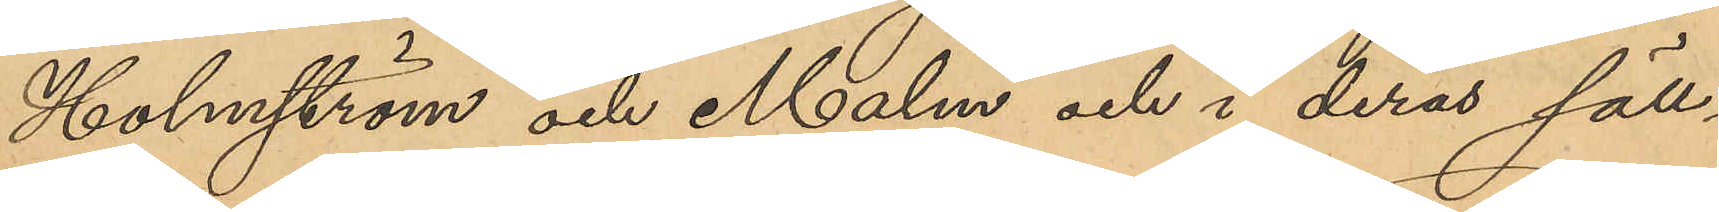Holmström och Malm och i deras säll¬
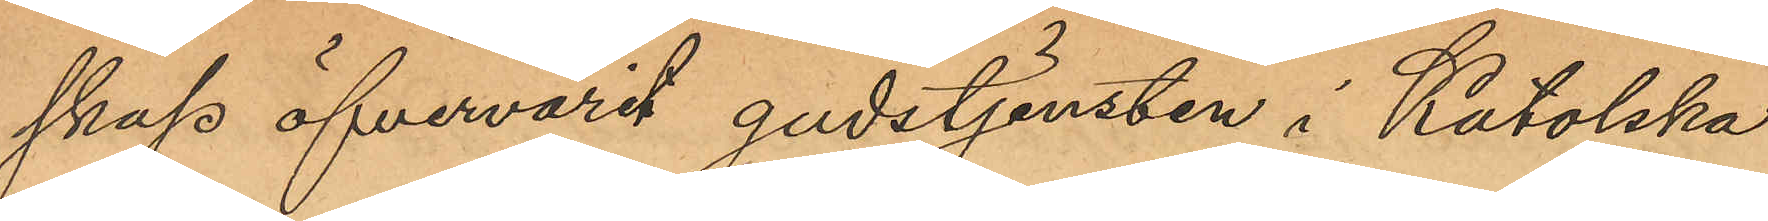skap öfvervarit gudstjänsten i Katolska
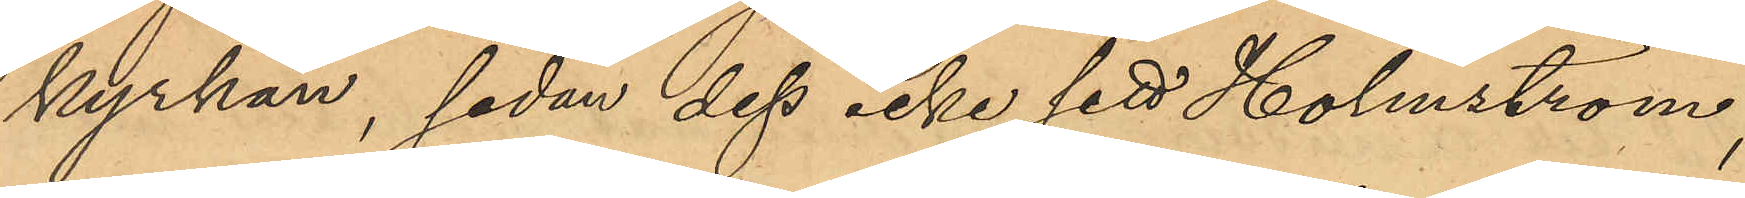kyrkan, sedan dess icke sett Holmström;
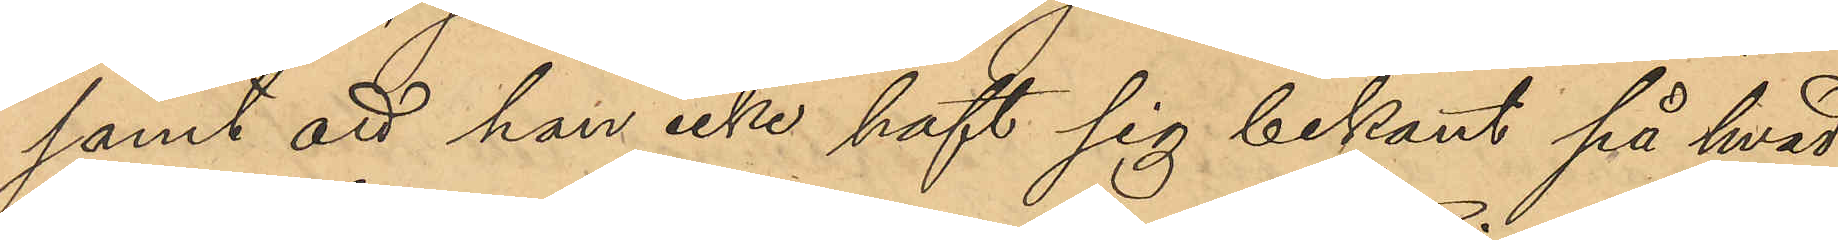samt att han icke haft sig bekant på hvad 
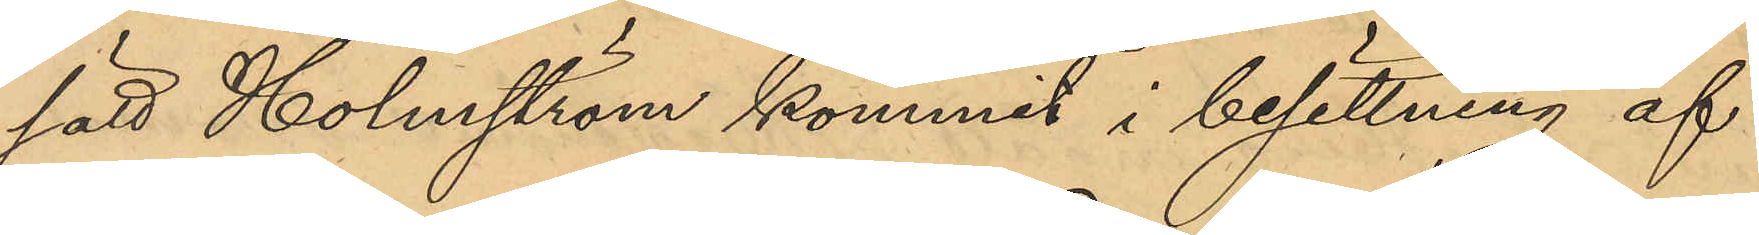sätt Holmström kommit i besittning af
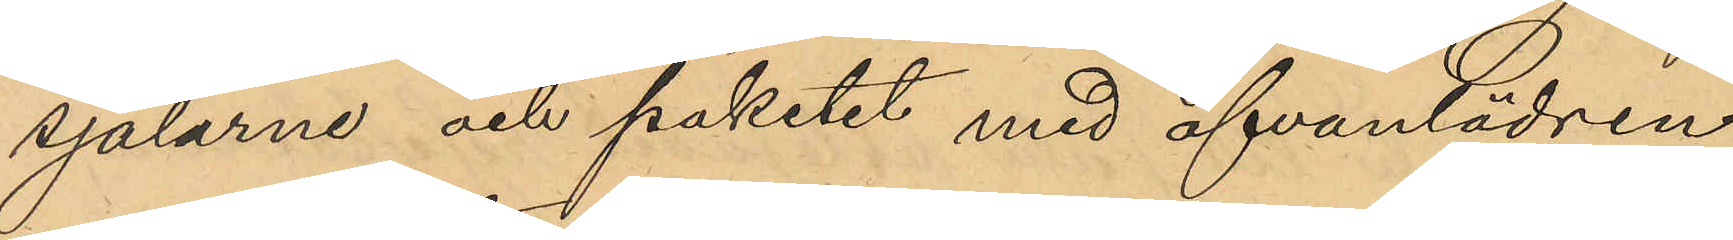sjalarne och paketet med ofvanlädren
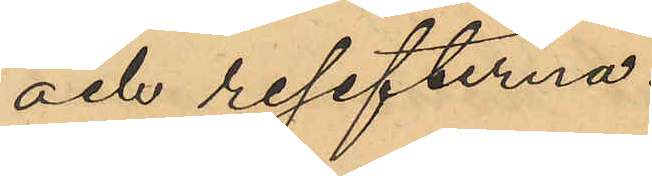och resefterna.
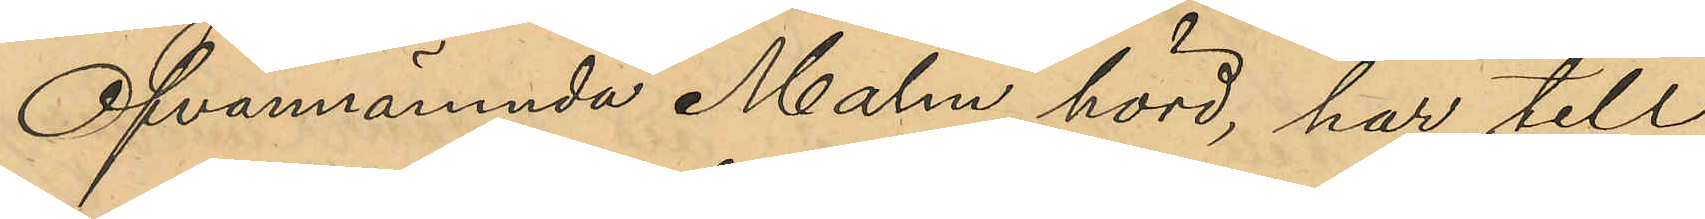Ofvannämnda Malm, hörd, har till
